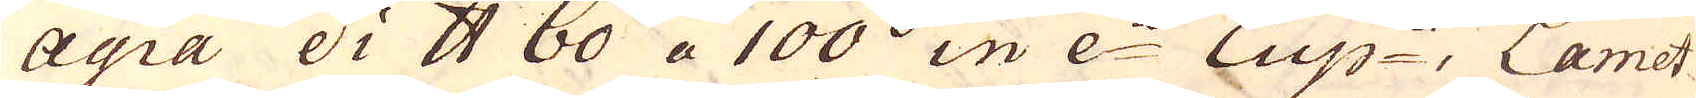Agia di skålpund 60 a 100 in e:a Eup:a Lamet-
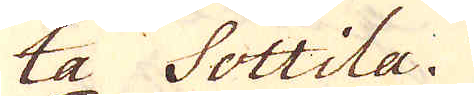ta Sottila.
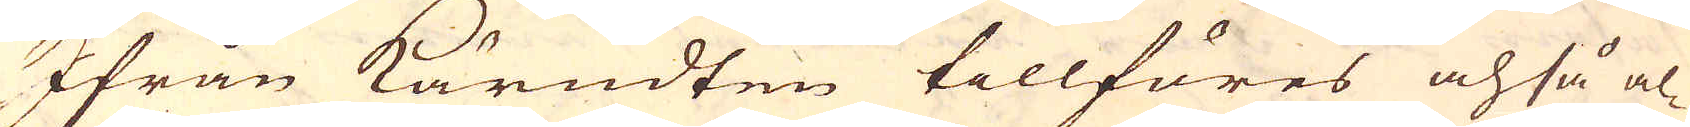Ifrån kärndten tillföres och så al-
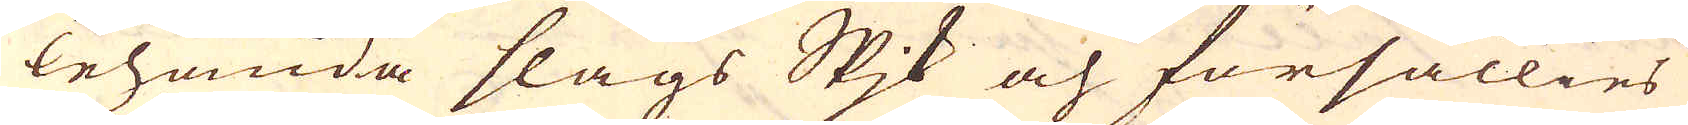lehanda slags spik och försällies
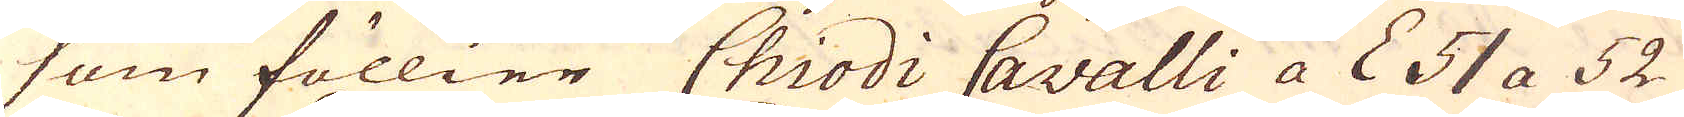som föllier Chiodi Cavalli a L 51 a 52
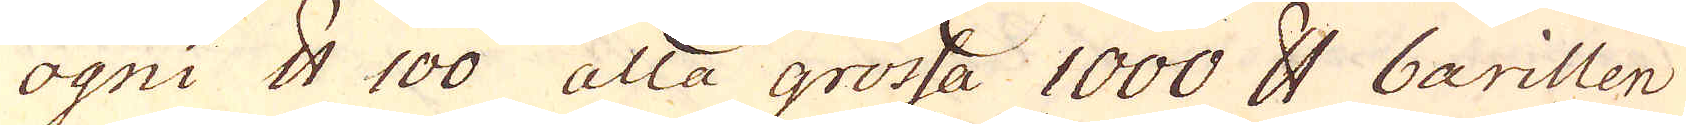agni skålpund 100 alla grossa 1000 skålpund barillen
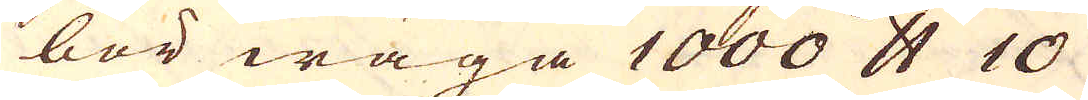bör wäga 1000 skålpund 10
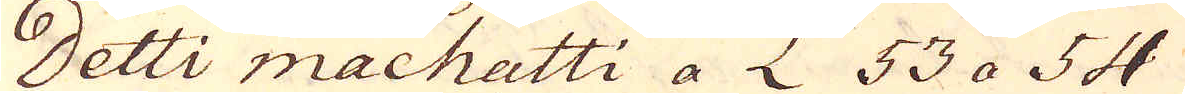Detti machatti a L 53 a 54
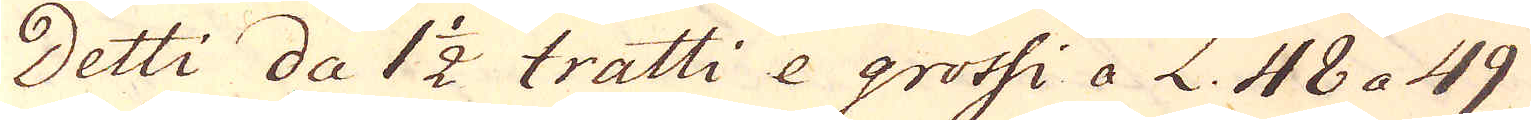Detti da 1 1/2 tratti e grotsi a L. 48 a 49
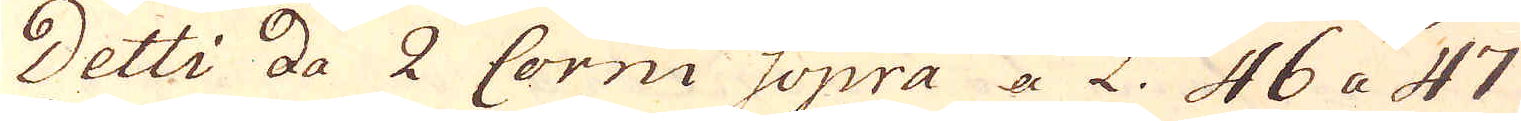Detti da 2 Corni Sopra a L. 46 a 47
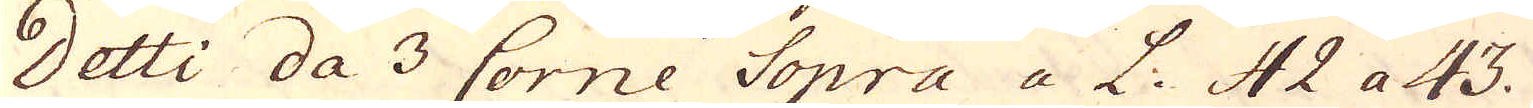Detti da 3 Corne Sopra a L. 42 a 43.
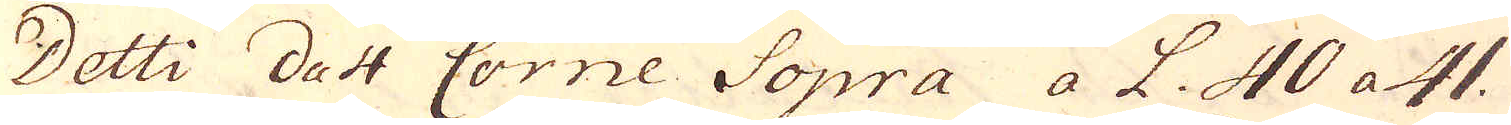Detti da 4 Corne Sopra a L. 40 a 41.
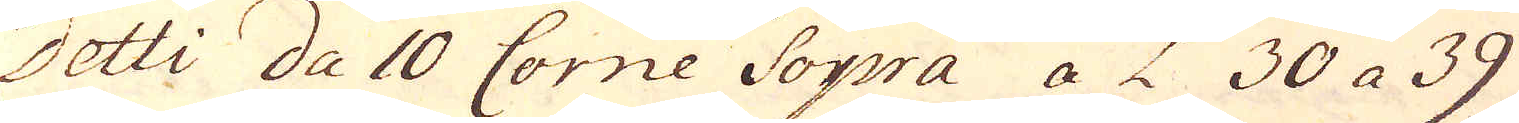Detti da 10 Corne Sopra a L 30 a 39
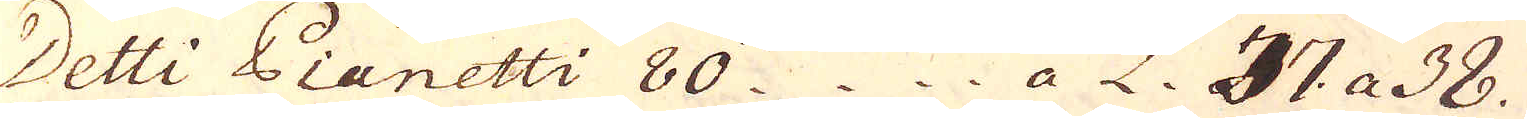Detti Pianetti 80 a L. 37 a 38.
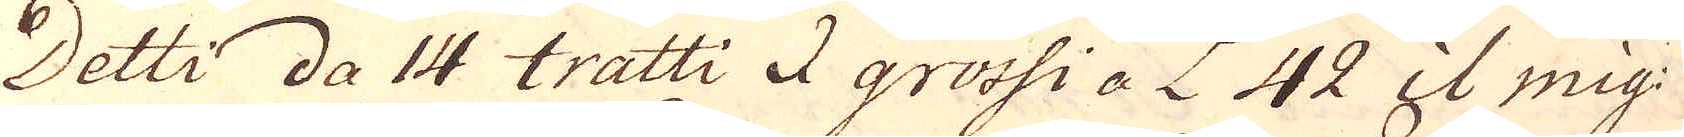Detti da 14 tratti I grossi a L 42 il mig:
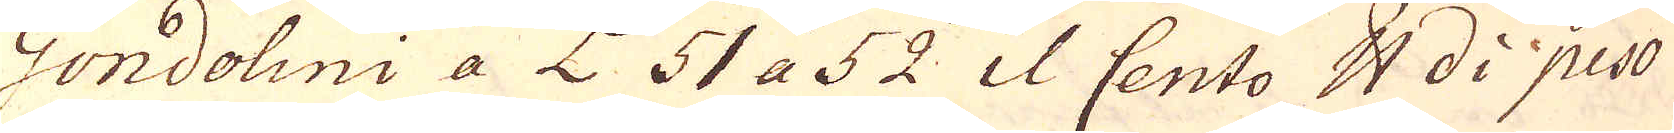Gondolini a L 51 a 52 il Cento skålpund di peso
